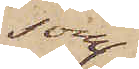som
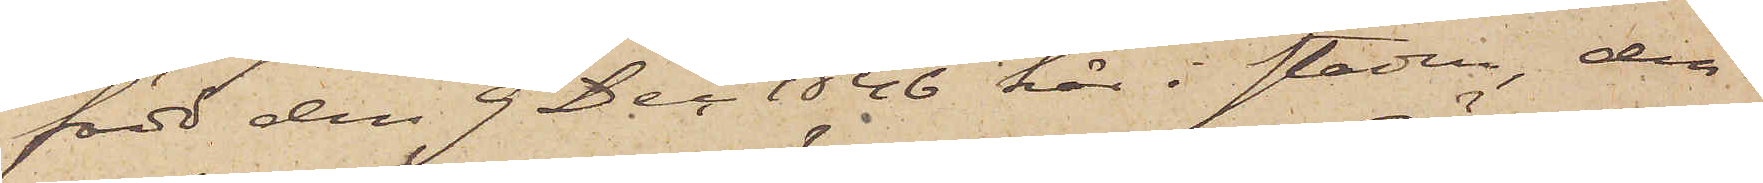född den 9 Dec 1846 här i staden, den
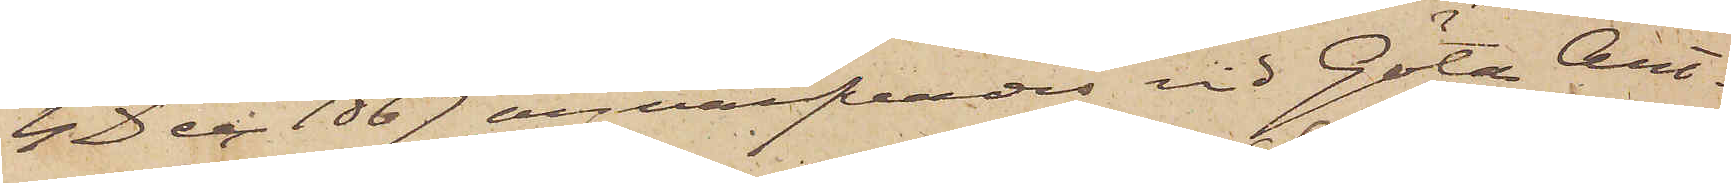4 Dec 1867 anvärfvades vid Göta Art.
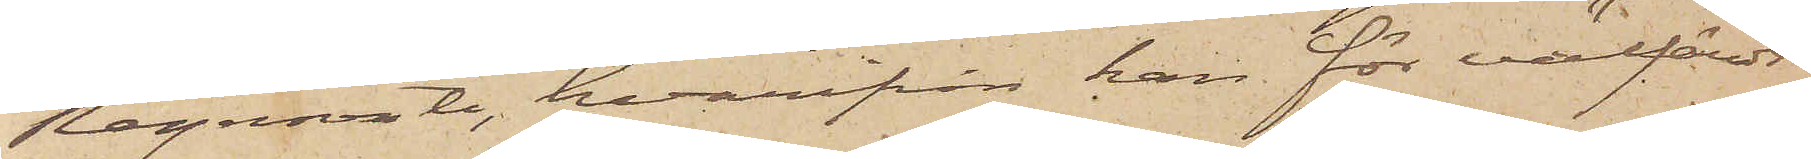Regemente, hvarifrån han för välfördt
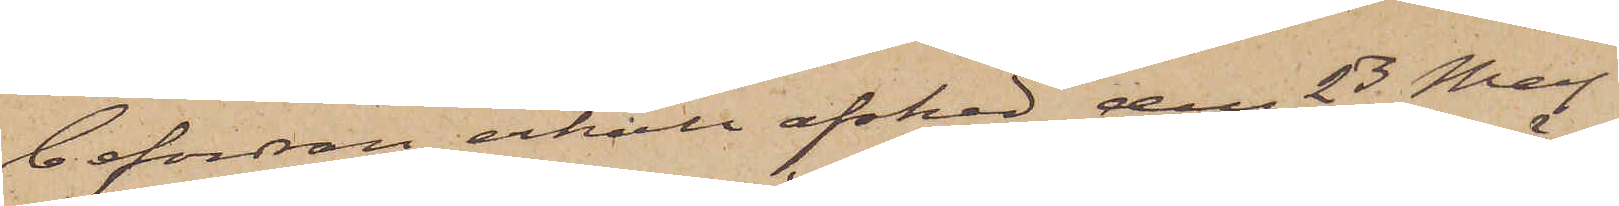befordran erhåll afsked den 23 Maj
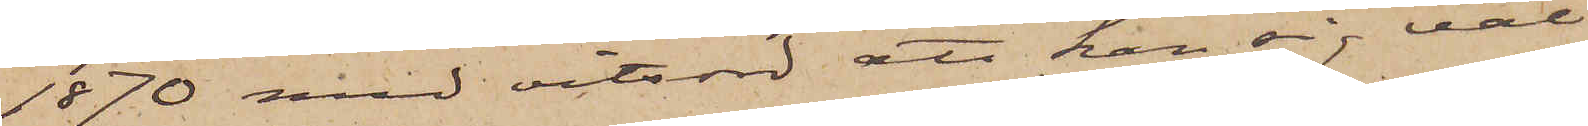1870 med vitsord att han sig väl
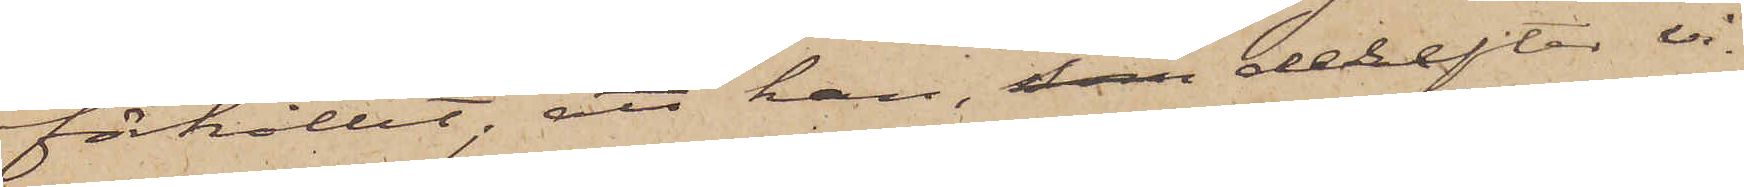förhållit; att han, som derefter vi¬
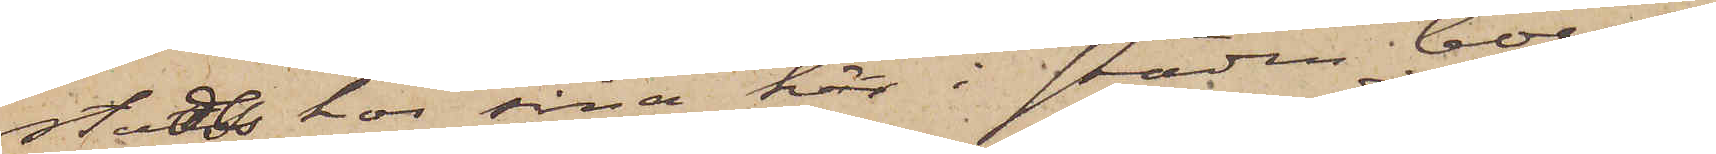stats hos sina här i staden boende
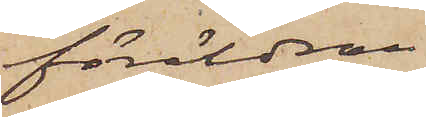föräldrar,
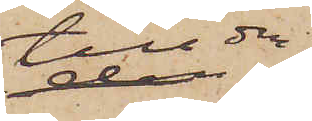till den
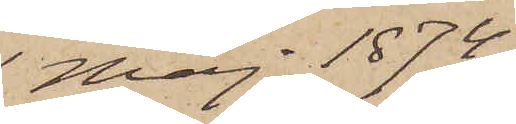1 Maj 1874,
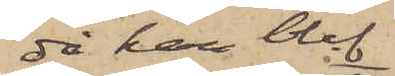då han blef
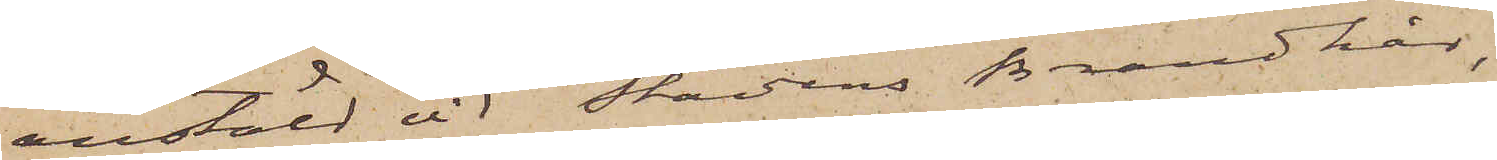anstäld vid Stadens Brandkår,
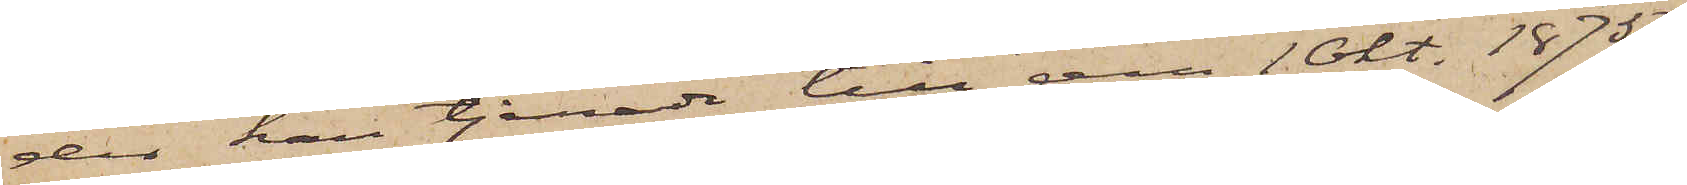der han tjenade till den 1 Okt. 1875;
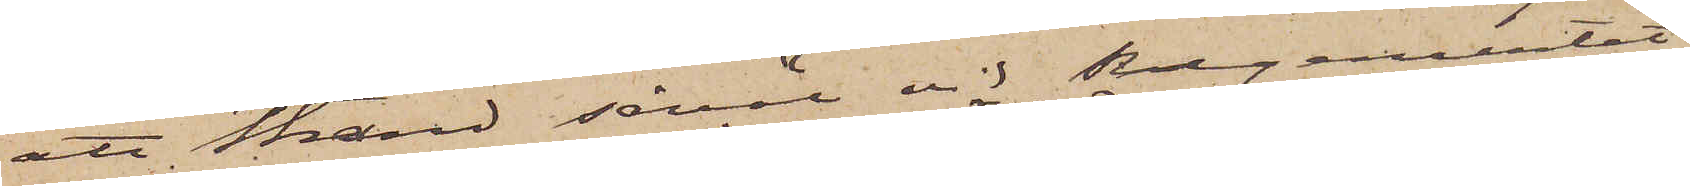att Strand såväl vid Regementet
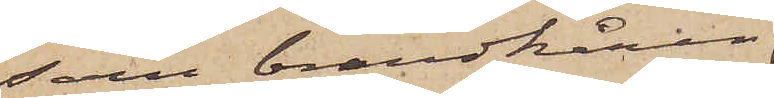som brandkåren
